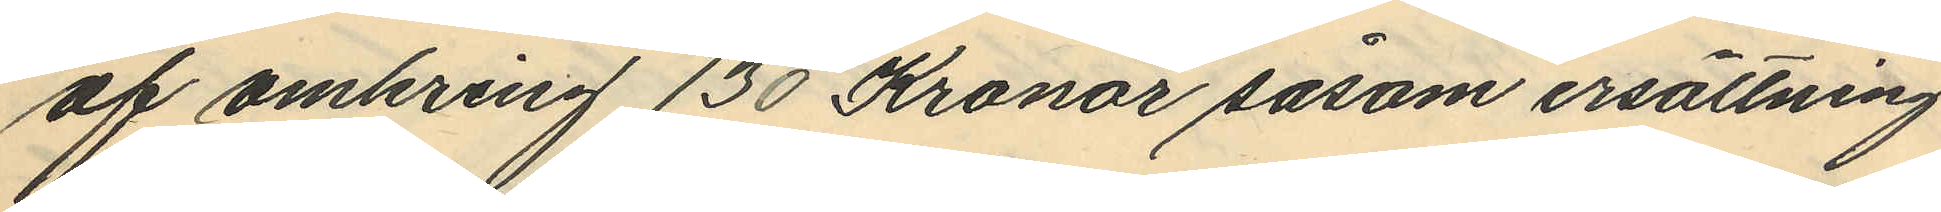af omkring 130 Kronor såsom ersättning
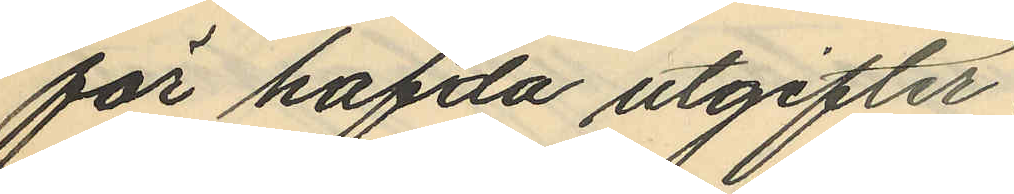för hafda utgifter.
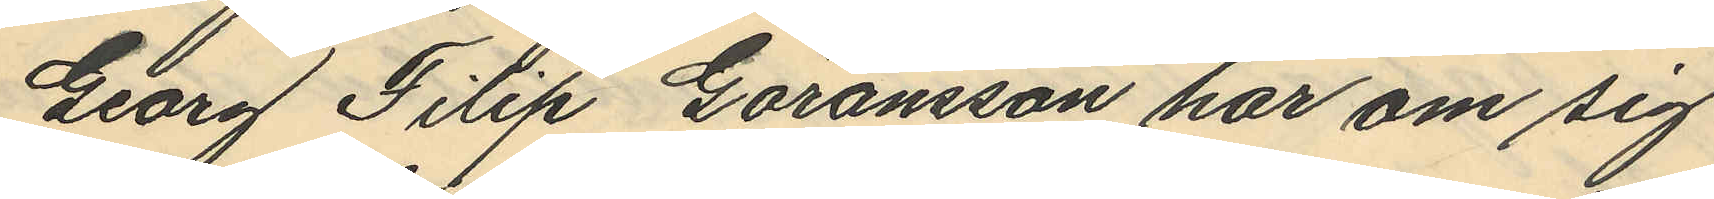Georg Filip Göransson har om sig
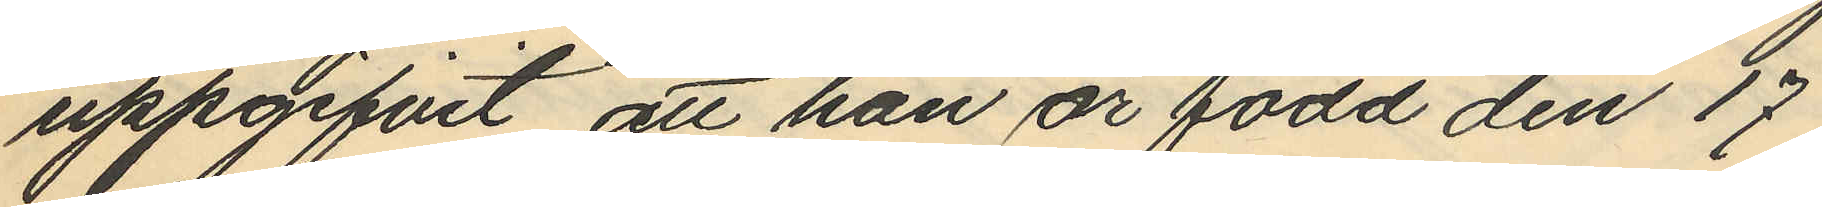uppgifvit att han är född den 17
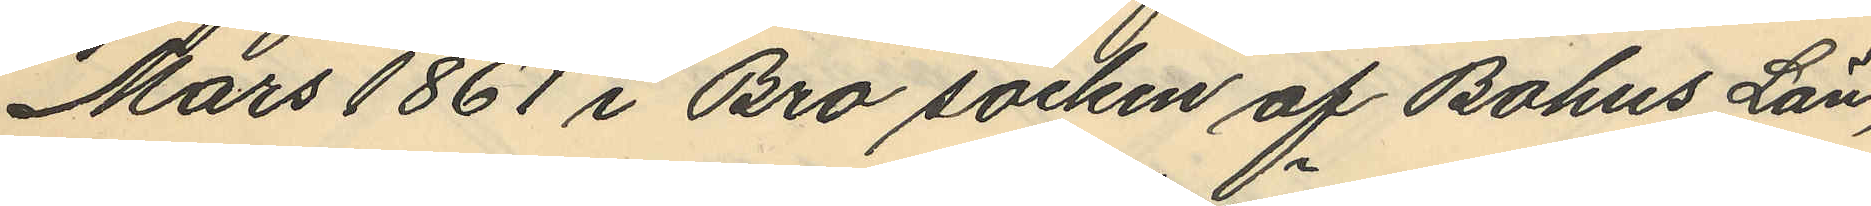Mars 1861 i Bro socken af Bohus Län,
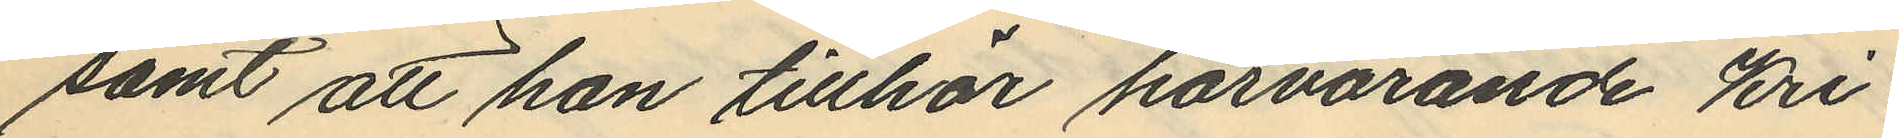samt att han tillhör härvarande Kri¬
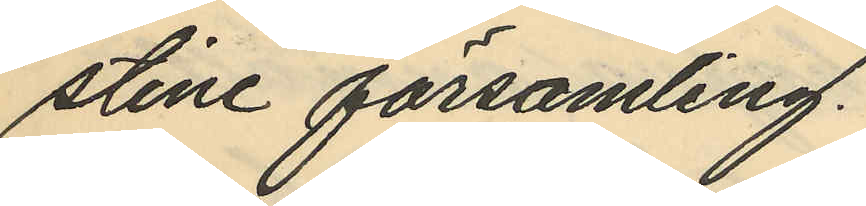stine församling.
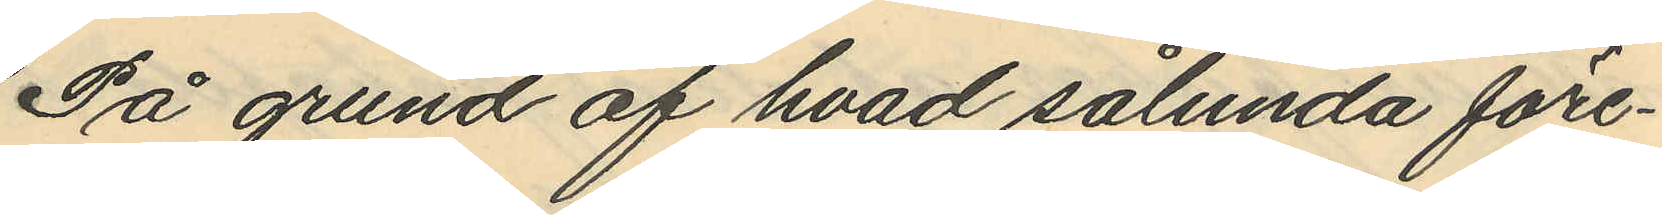På grund af hvad sålunda före¬
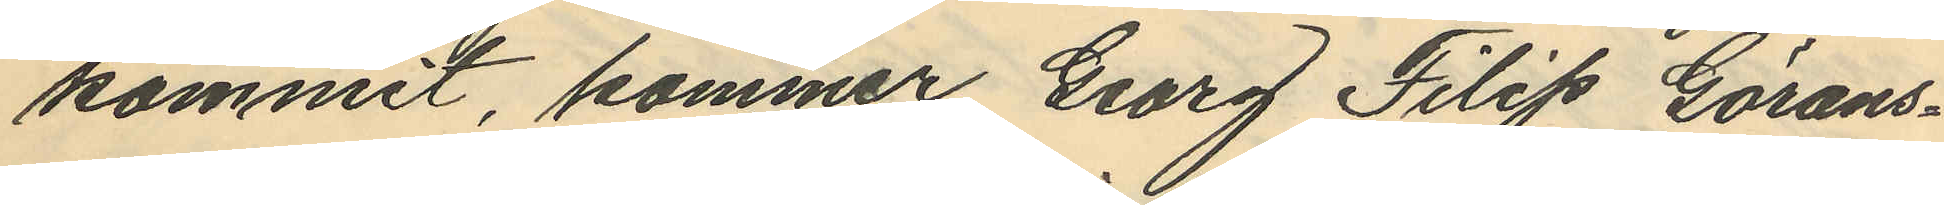kommit, kommer Georg Filip Görans¬
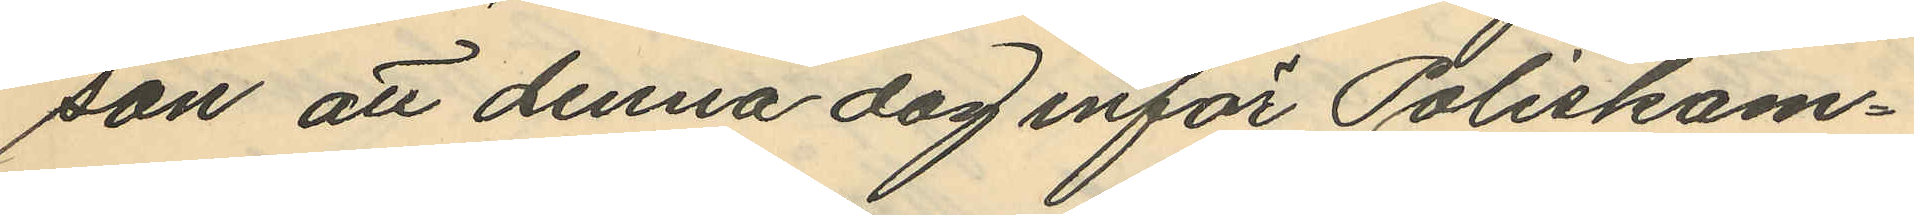son att denna dag inför Poliskam¬
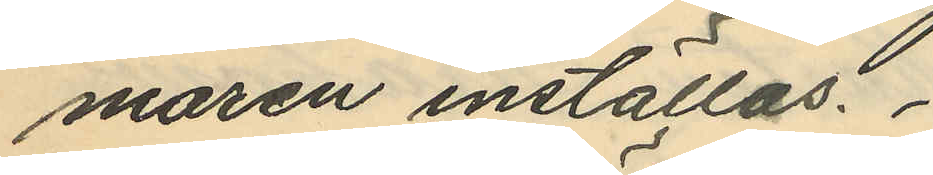maren inställas.
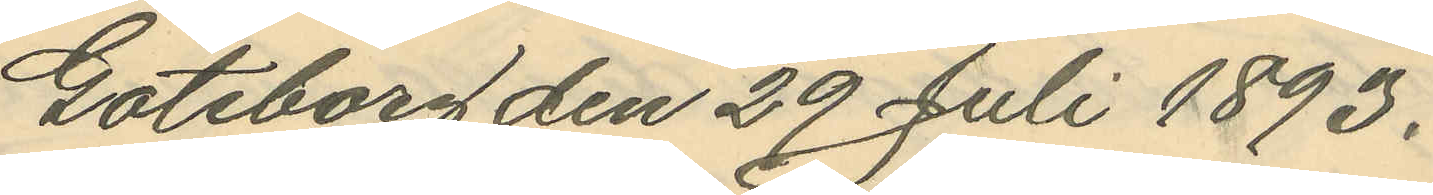Göteborg den 29 Juli 1893.
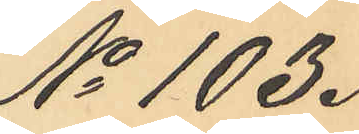No 103.
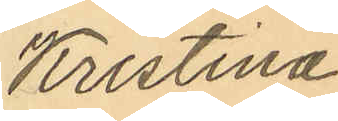Kristina
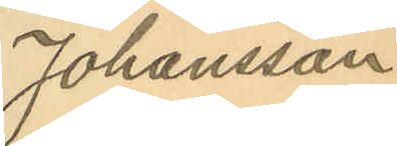Johansson
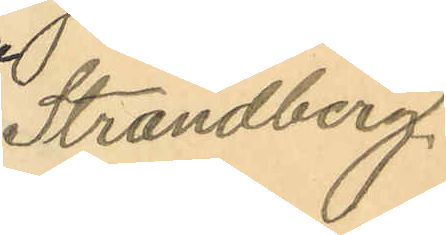Strandberg.
